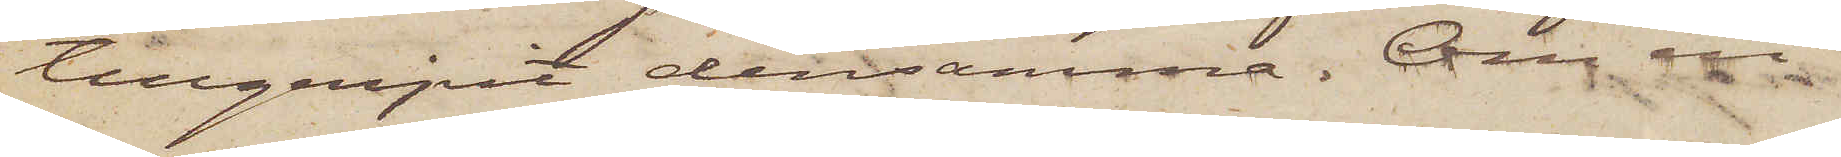tillgripit densamma. Om en
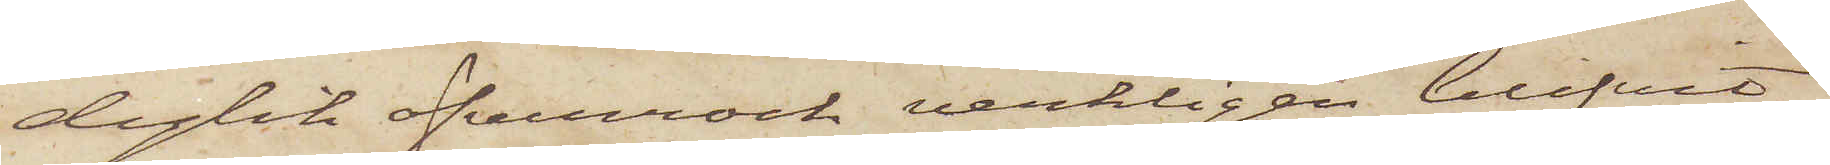dylik öfverrock verkligen blifvit
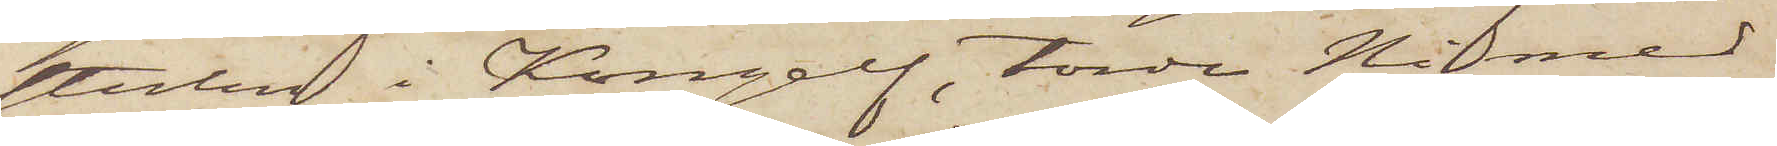stulen i Kongelf, torde Ni med
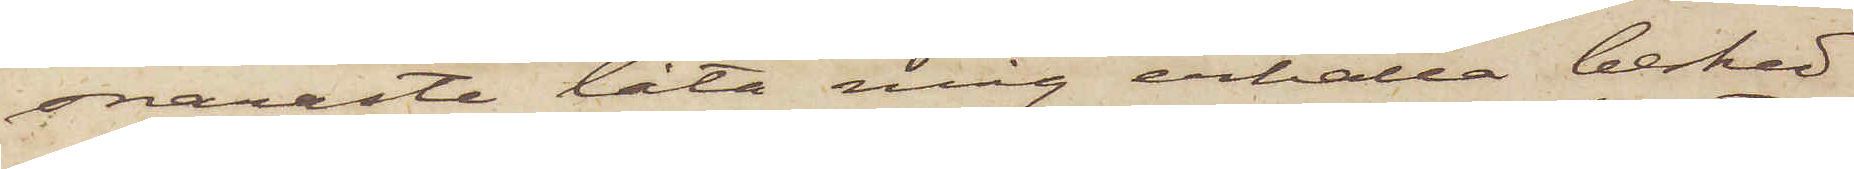snaraste låta mig erhålla besked
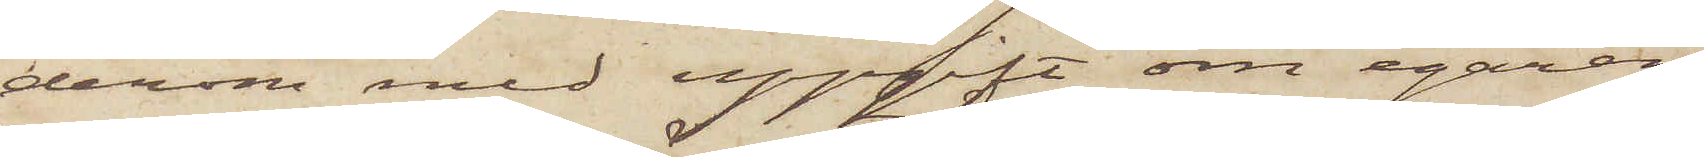derom med uppgift om egaren
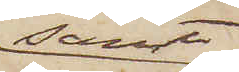samt
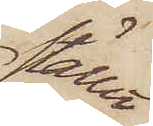stället
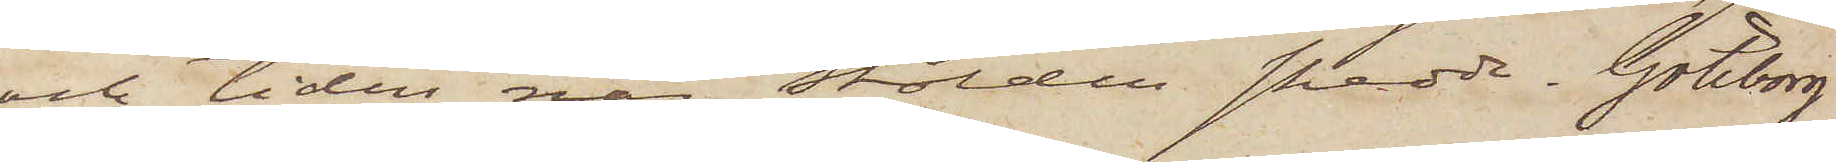och tiden när stölden skedde. Göteborg
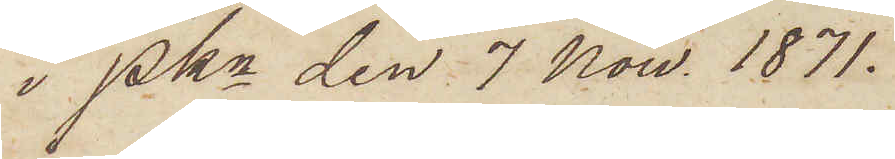i Pkn den 7 Now. 1871.
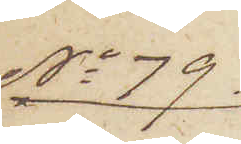No 79
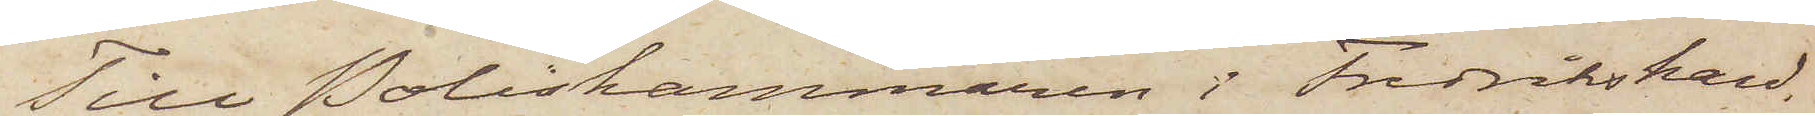till Poliskammaren i Fredrikshald.
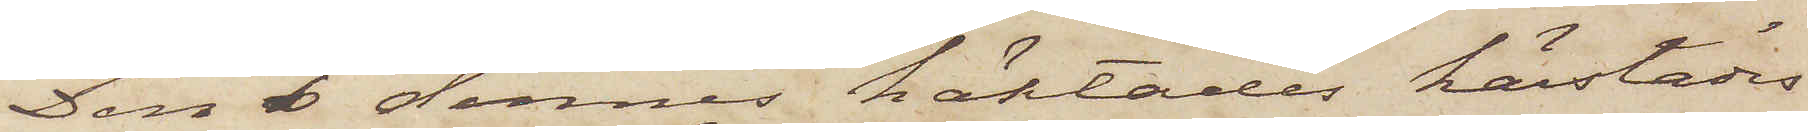Den 6 dennes häktades härstädes
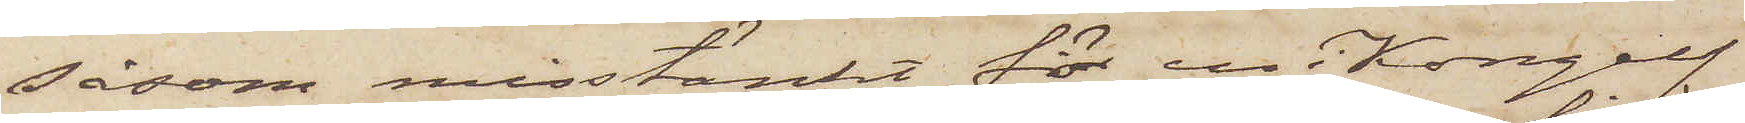såsom misstänkt för en i Kongelf
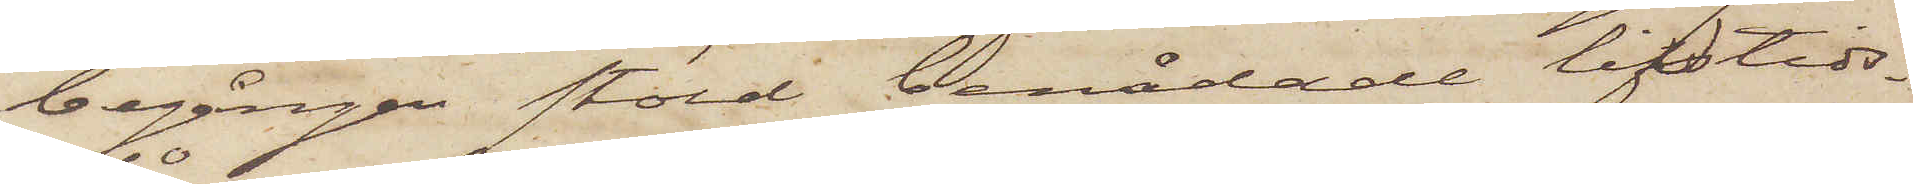begången stöld benådade lifstids¬
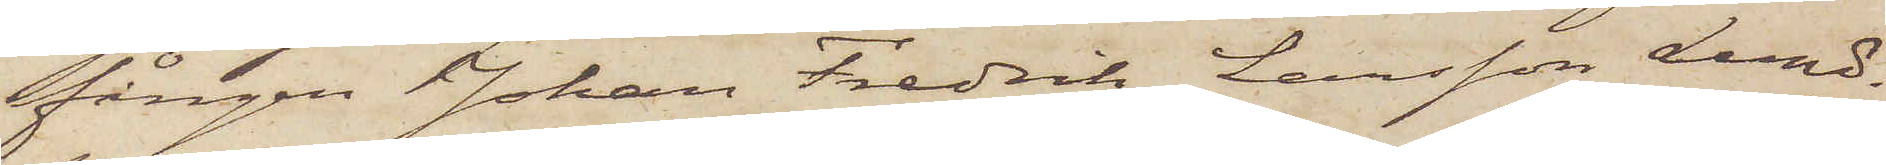fången Johan Fredrik Larsson Lund.
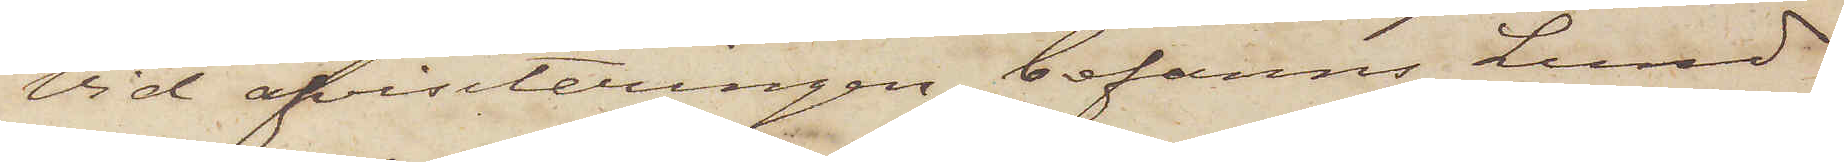Vid afvisiteringen befanns Lund¬
